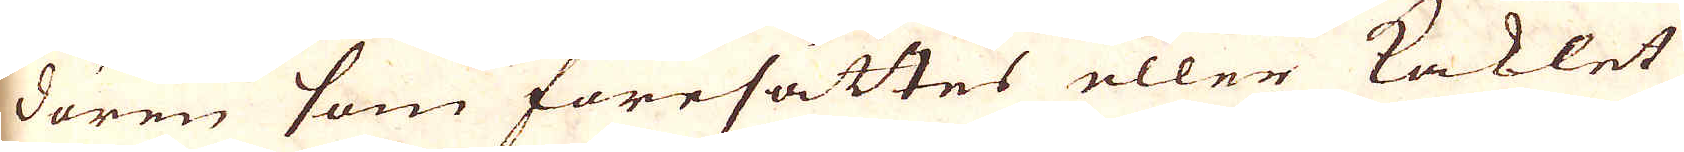dören som föresättes eller Kaklet
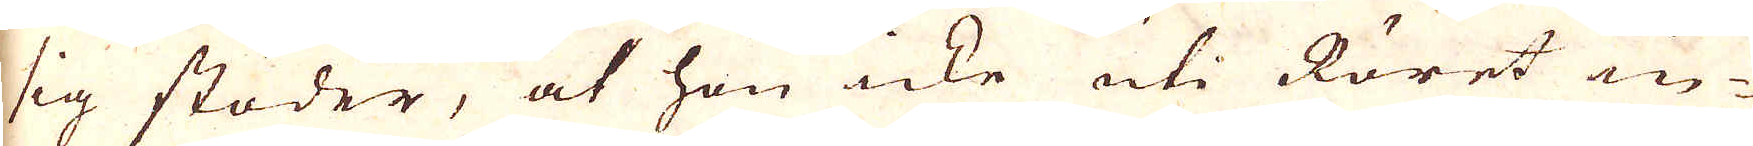sig stöder, at hon icke uti Röret in-
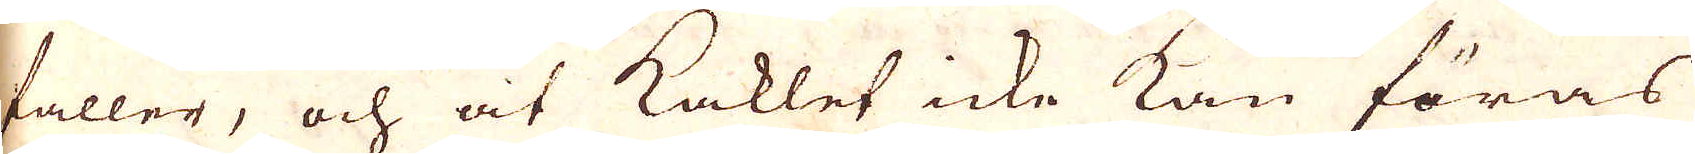faller, och at Kaklet icke kan föras
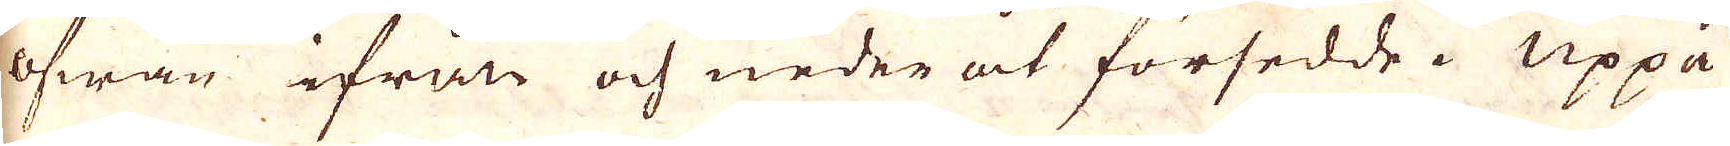ofwan ifrån och neder åt försedde. Uppå
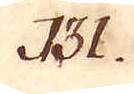131.
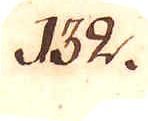132.
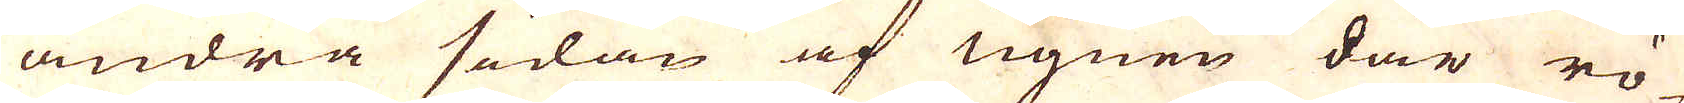andra sidan af ugnen där rö-
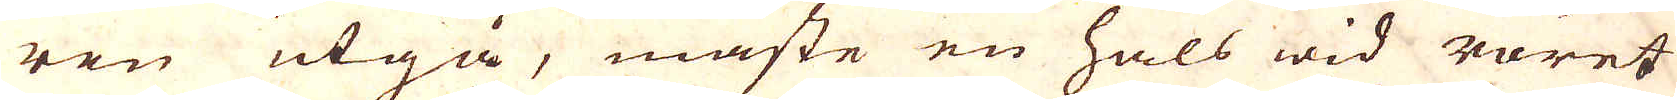ren utgå, måste en hals wid röret
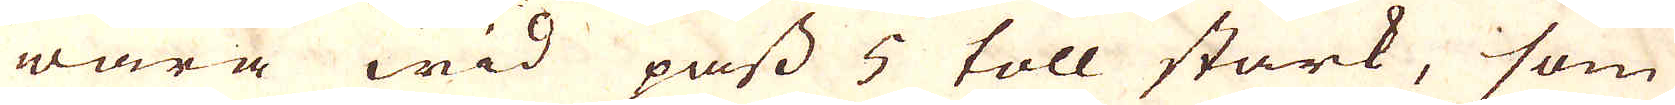wara wid pass 5 toll stark, som
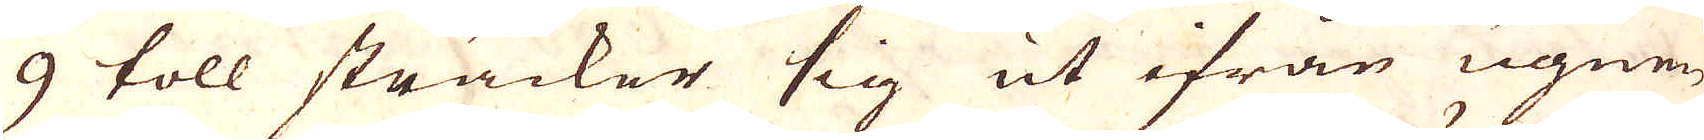9 toll sträcker sig ut ifrån ugnen,
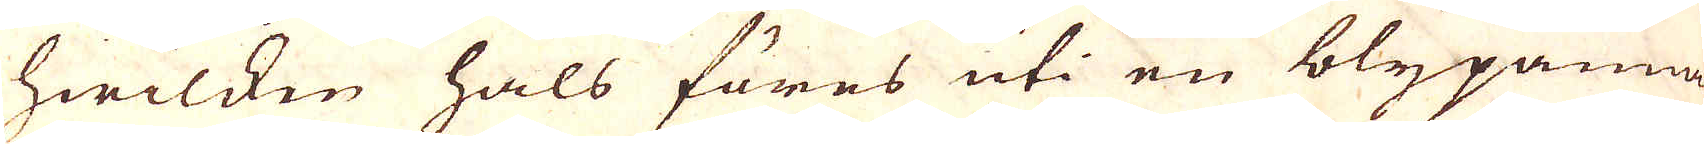hwilken hals föres uti en blypanna
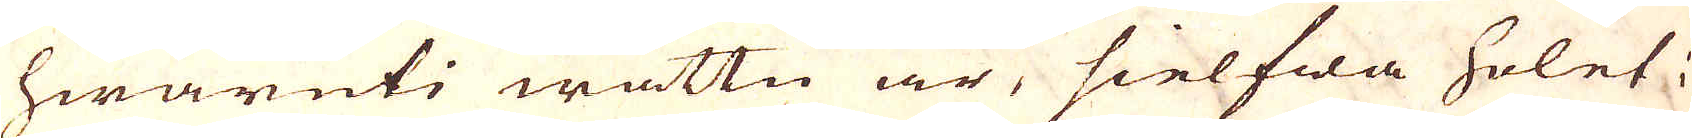hwaruti wattn är, sielfwa holet i
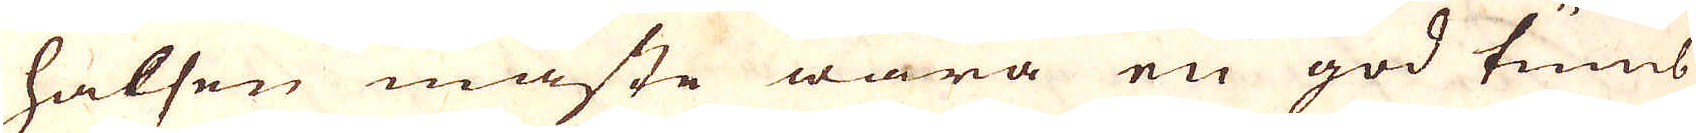halsen måste wara en god tums
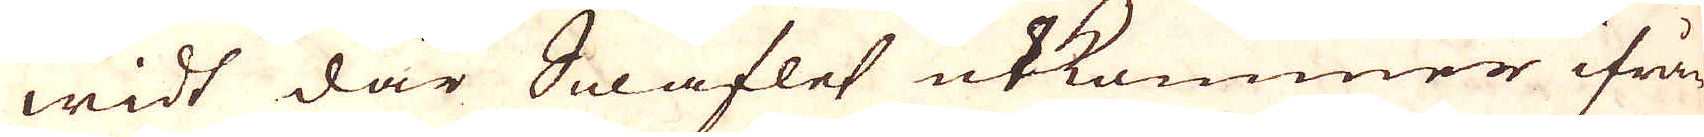widt där Swaflet utkommer ifrån
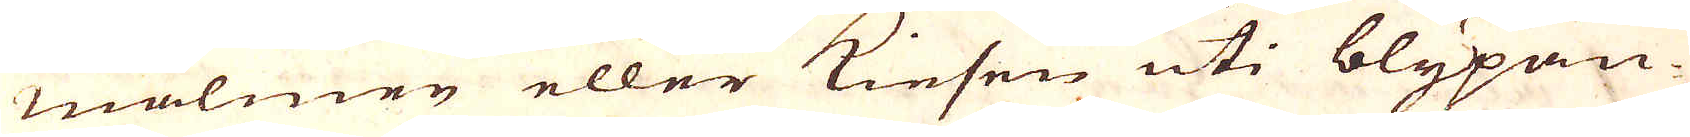malmen eller Kiesen uti blypan-
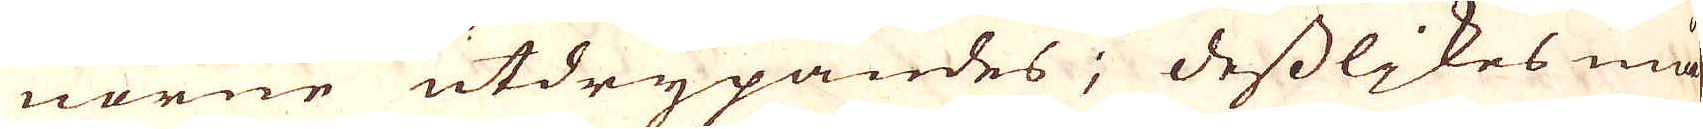norne utdrypandes; desslikes må-
